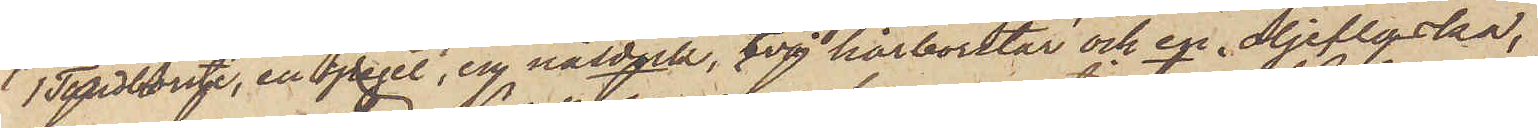1 Tandborste, en spegel, en näsduk, två hårborstar och en oljeflaska,
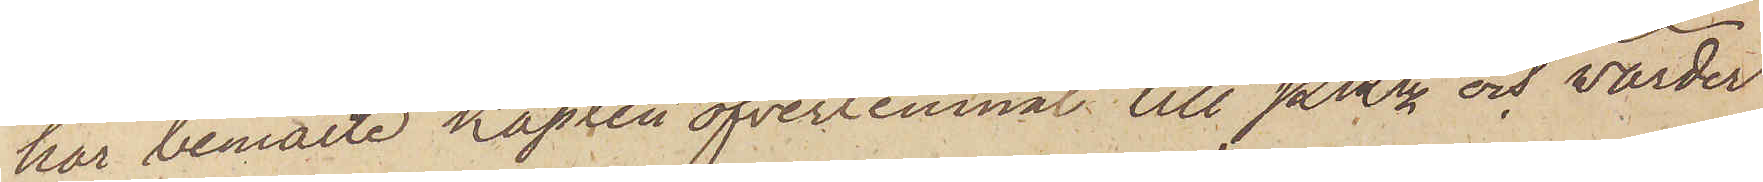har bemälte Kapten öfverlemnat till Pkn och varder
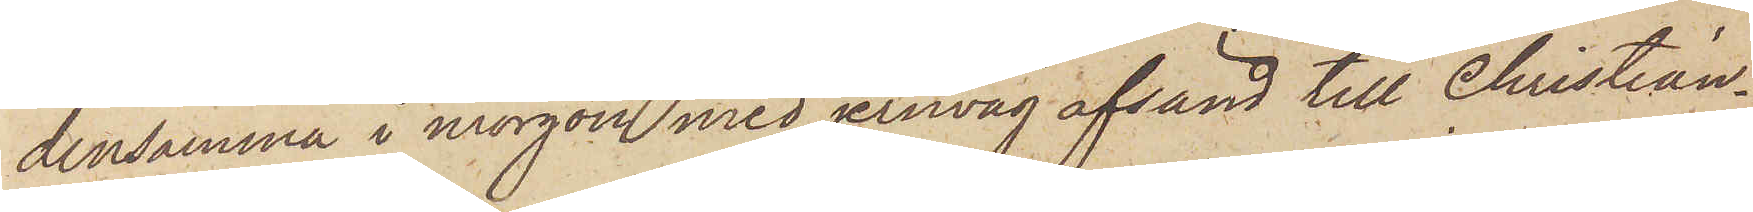densamma i morgon med jernväg afsänd till Christian¬
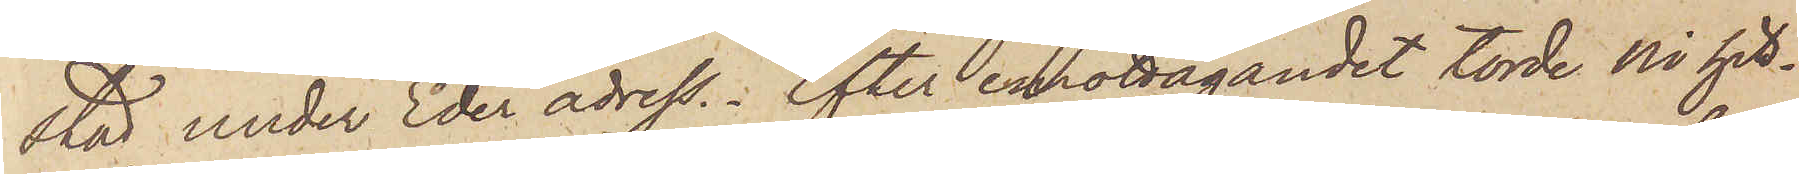stad under Eder adress. Efter emottagandet torde Ni hit¬
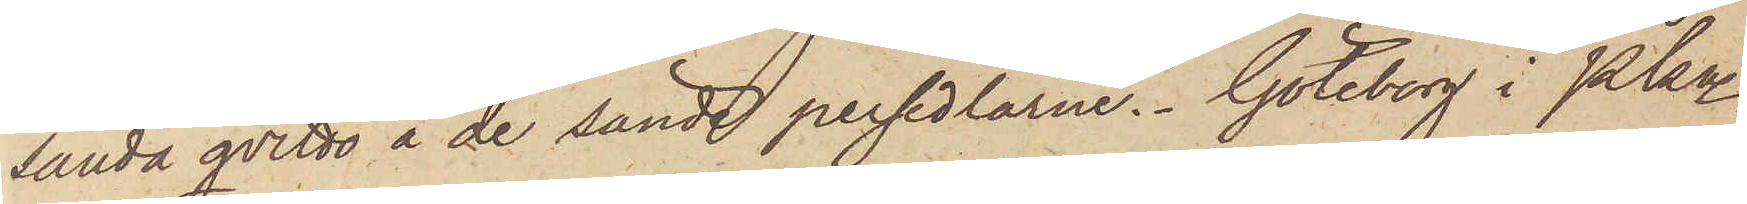sända qvitto å de sände persedlarne. Göteborg i Pkn
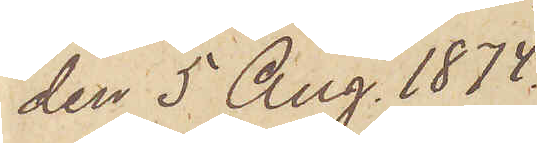den 5 Aug. 1874.
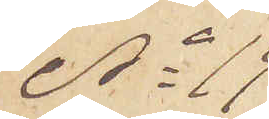No 19
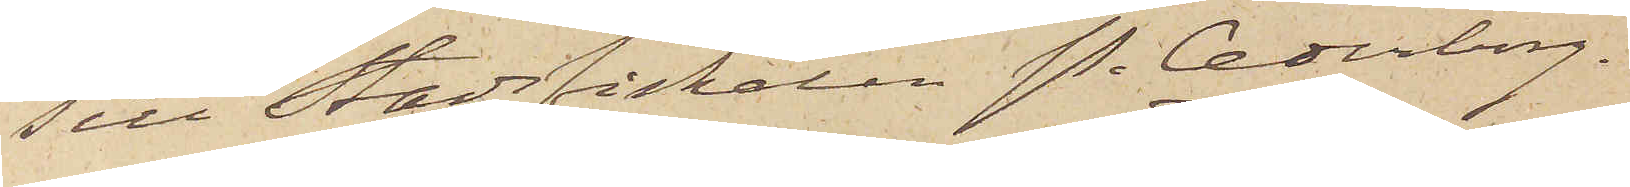Till Stadsfiskalen P. Cederborg
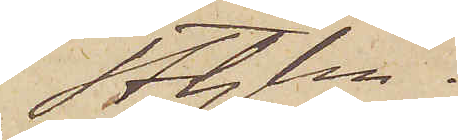Sthlm.
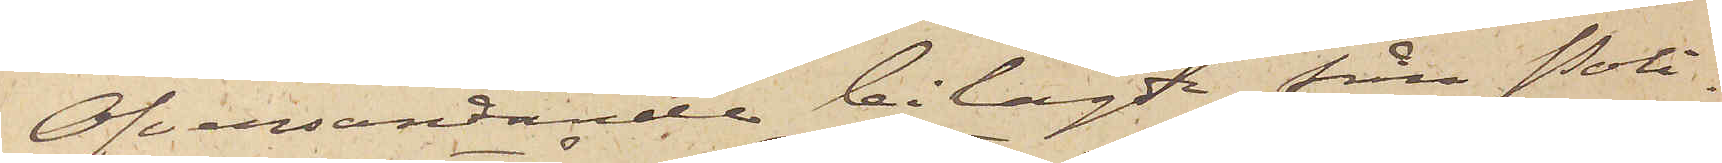Öfversändande bilagde från Poli¬
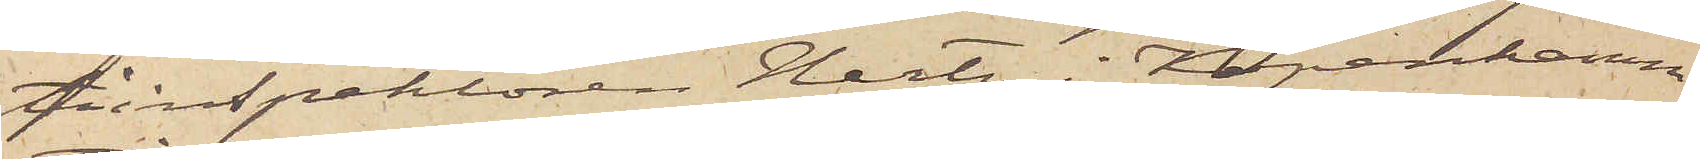tiinspektören Hertz i Köpenhamn
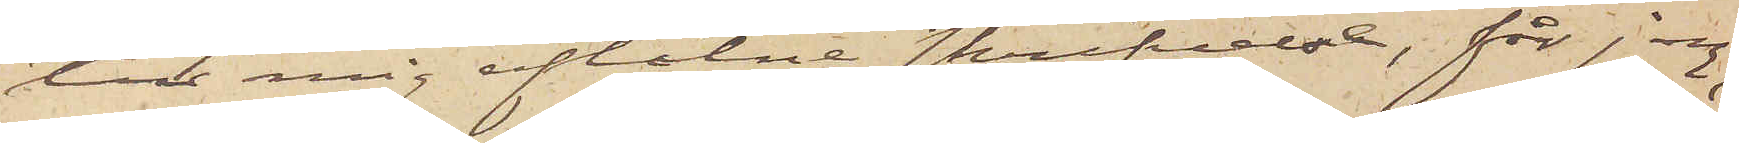till mig aflåtne skrifvelse, får jag,
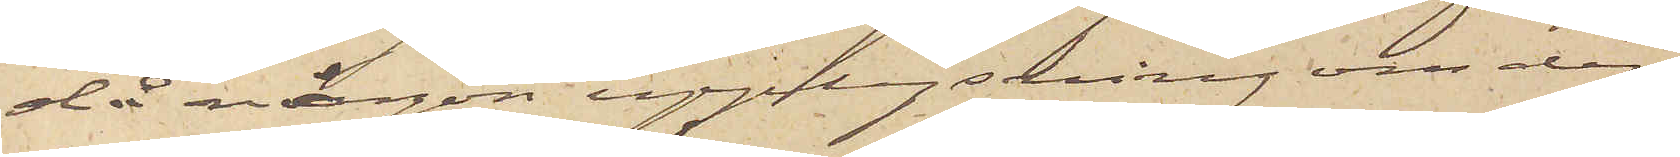då någon upplysning om den
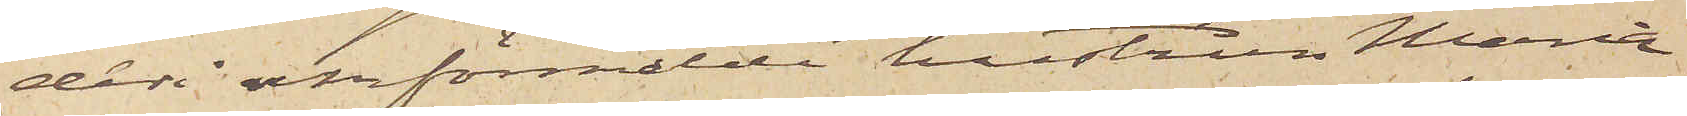deri omförmälde hustrun Maria
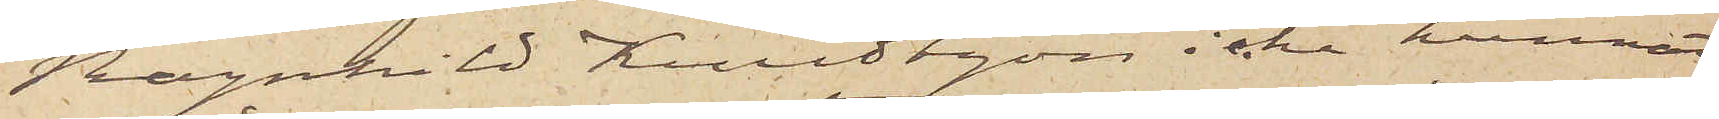Ragnhild Knudtzon icke kunnat
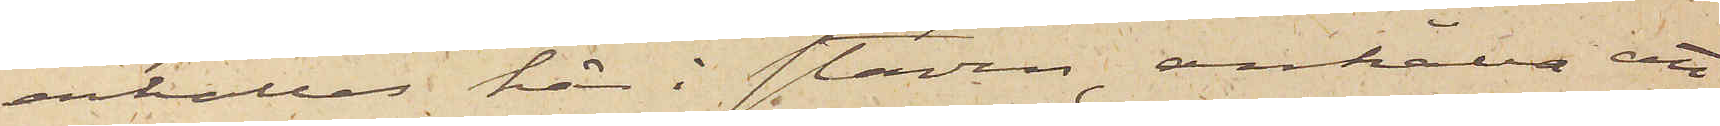erhållas här i staden, anhålla att
